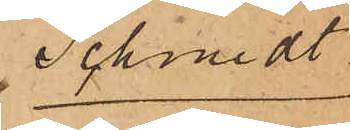Schmidt
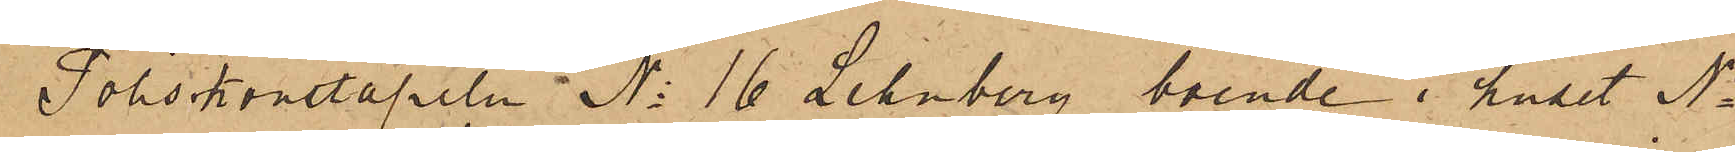Poliskonstapeln No 16 Lehnberg, boende i huset No
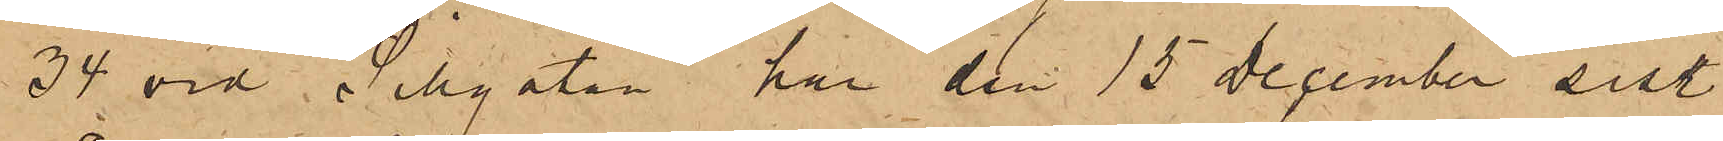34 vid Sillgatan har den 15 December sist.
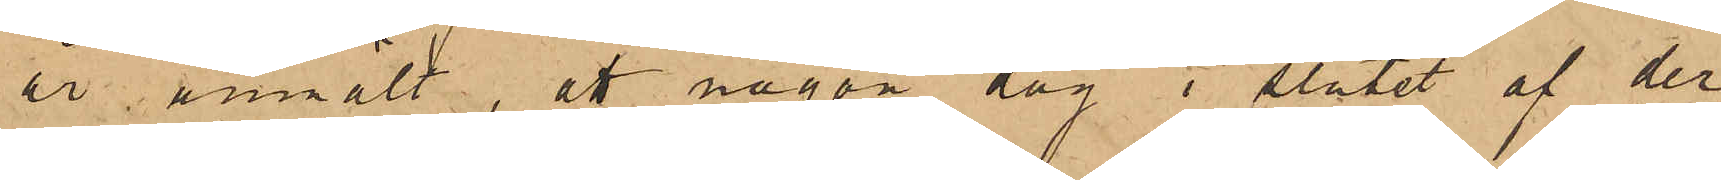år, anmält att någon dag i slutet af der¬
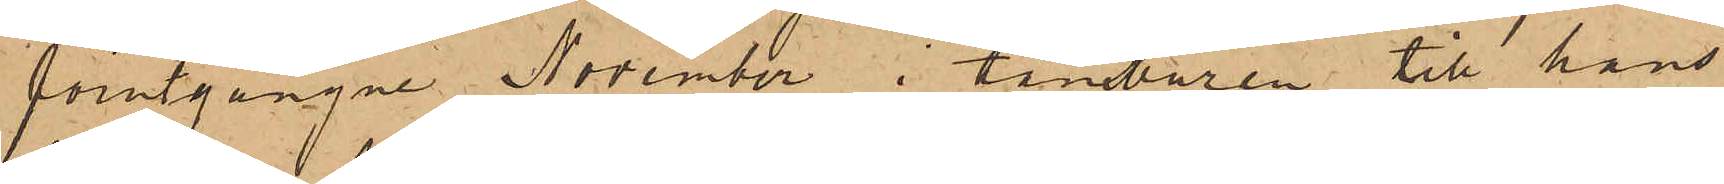förutgångne November i tamburen till hans
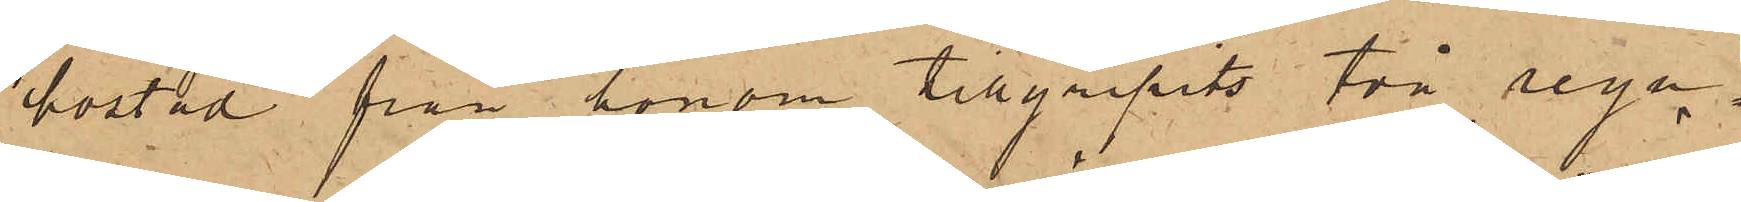bostad från honom tillgripits två regn¬
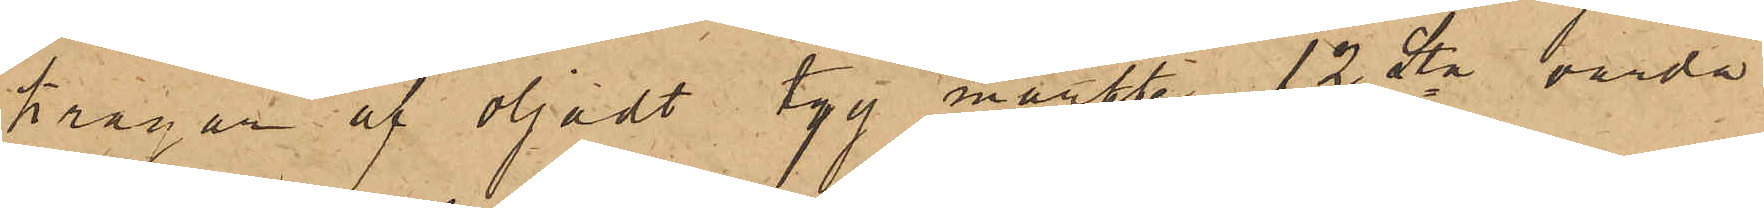kragar af oljadt tyg märkte 12 Lta, värda
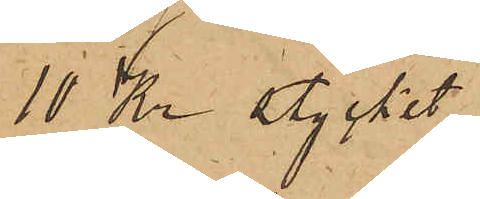10 Kr stycket.
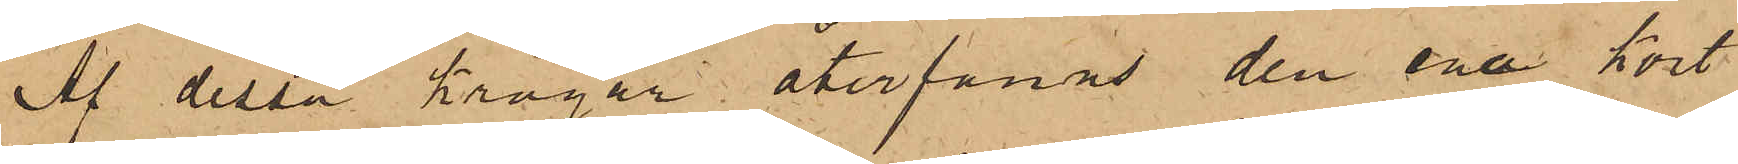Af dessa kragar återfanns den ena kort
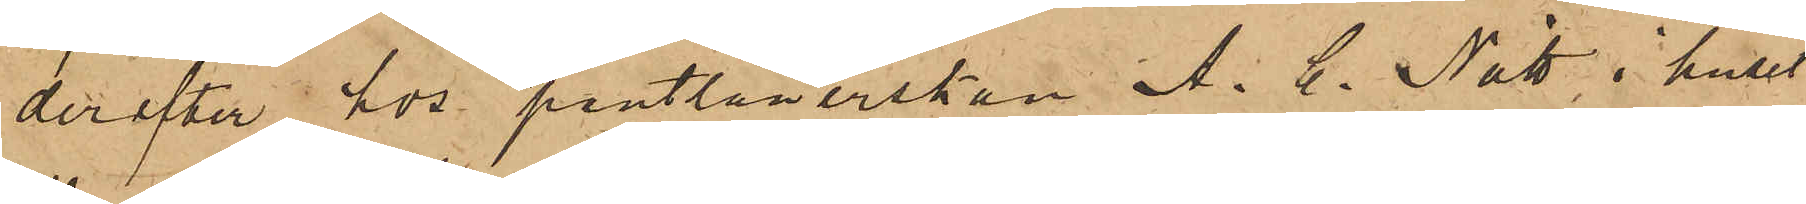derefter hos pantlånerskan A. C. Nätt i huset
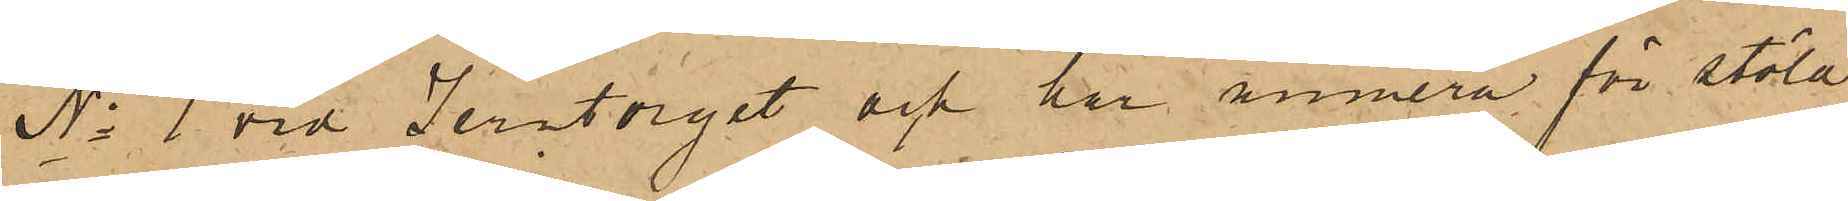No 1 vid Jerntorget och har numera för stöld
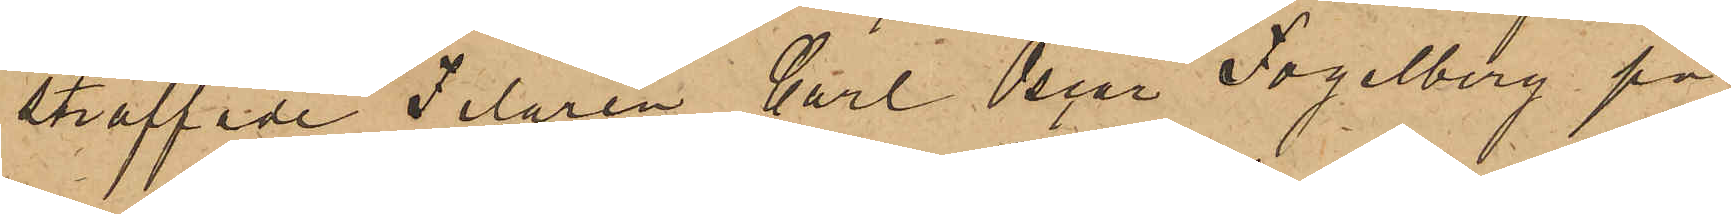straffade Filaren Carl Oscar Fogelberg på
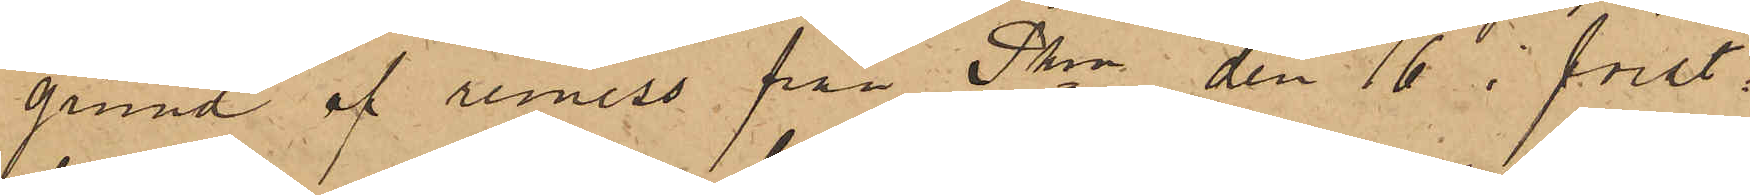grund af remiss från Pkn den 16 i först¬
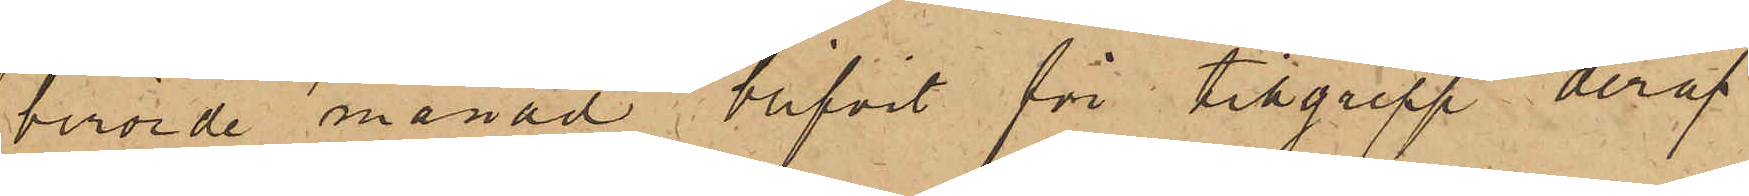berörde månad blifvit för tillgrepp deraf
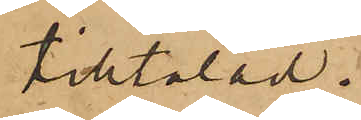tilltalad.
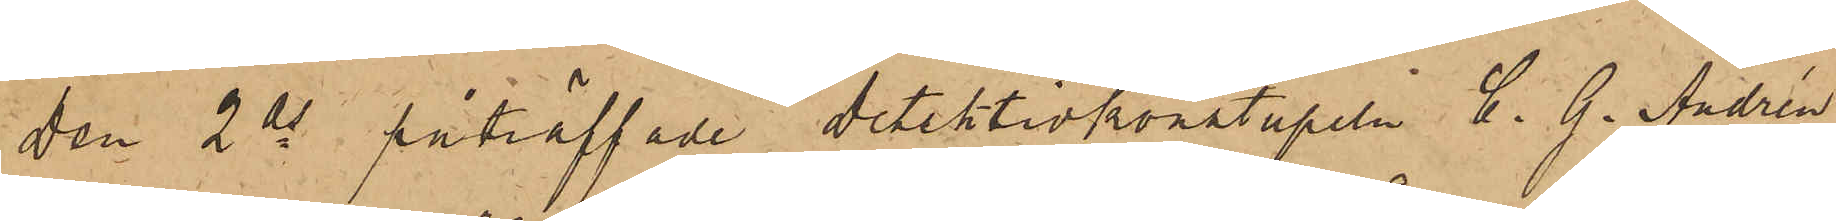Den 2 ds påträffade detektivkonstapeln C. G. Andrén
